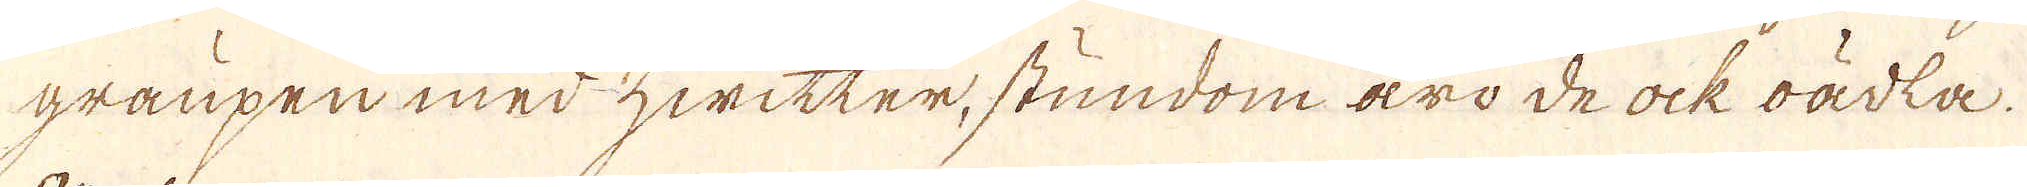graupen med zwitter, stundom äro de ock oädkta.
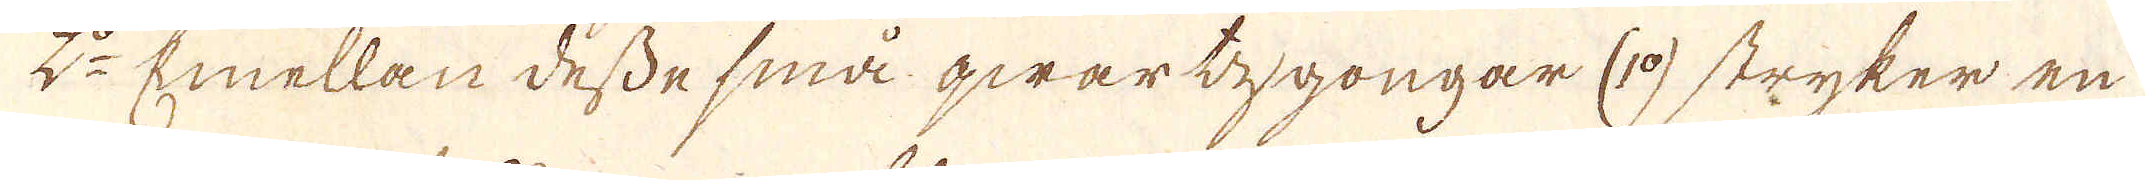2:o Emellan desse små qwartygongar (1:o) stryker en
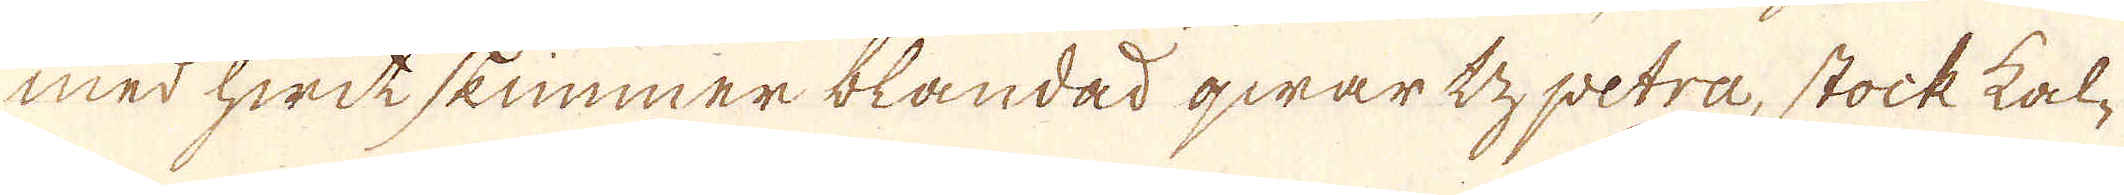med hwitskimmer blandad qwartz petra, stock kal-
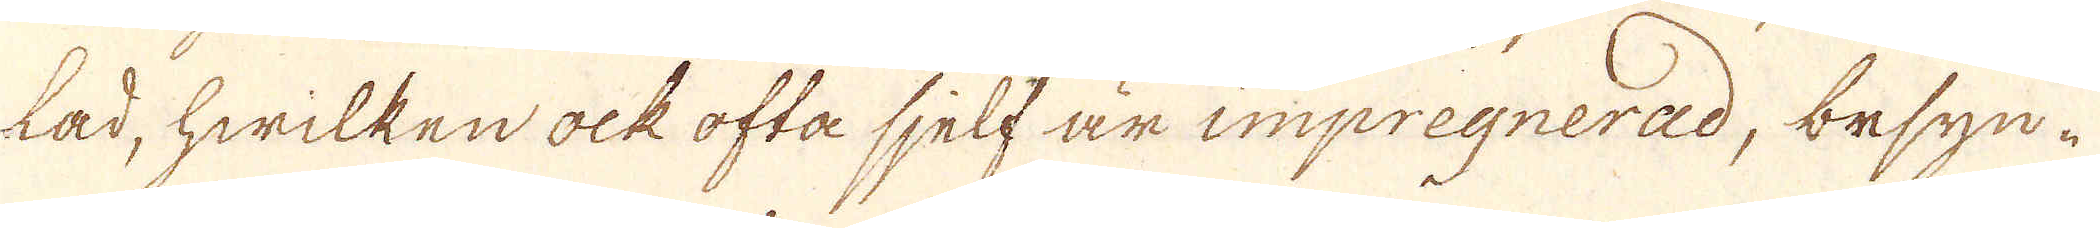lad, hwilken ock ofta sjelf är impregnerad, besyn-
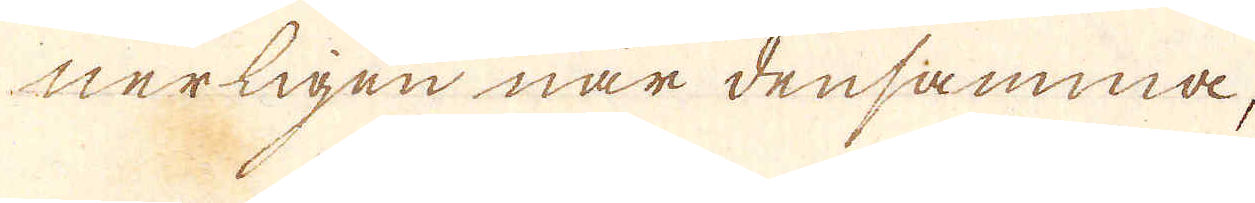nerligen när densamma,
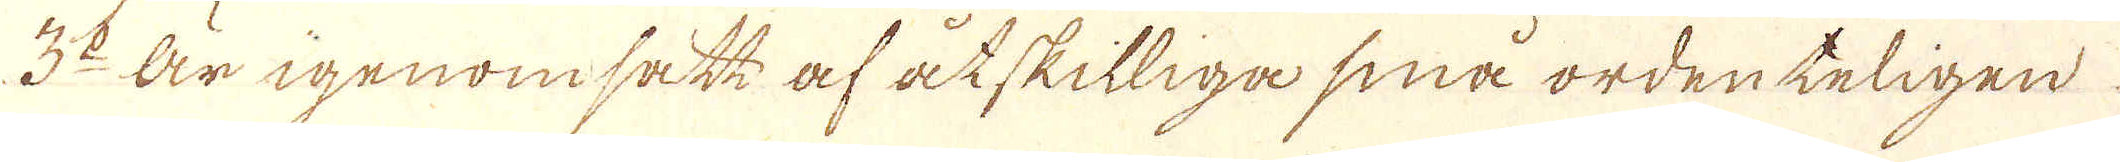3:o Är igenomsätt af åtskilliga små ordenteligen
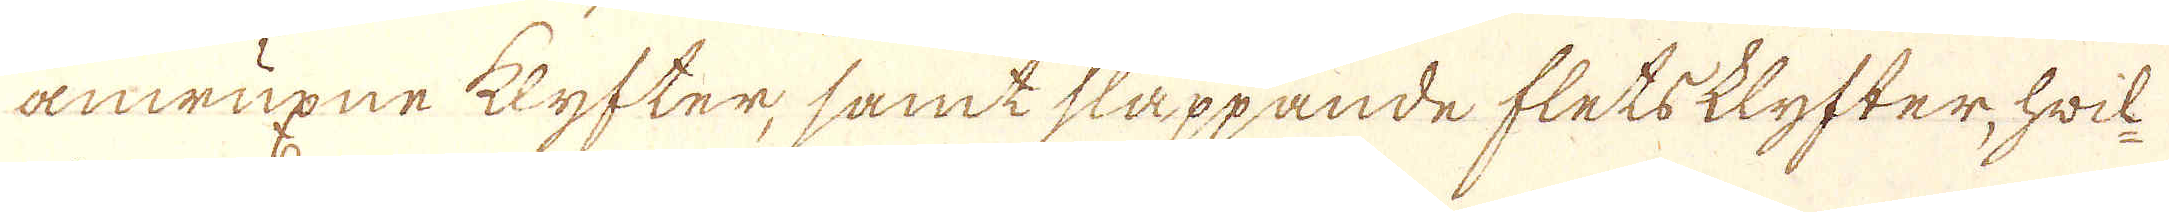anwuxne klyfter, samt släppande fletsklyfter, hwil-
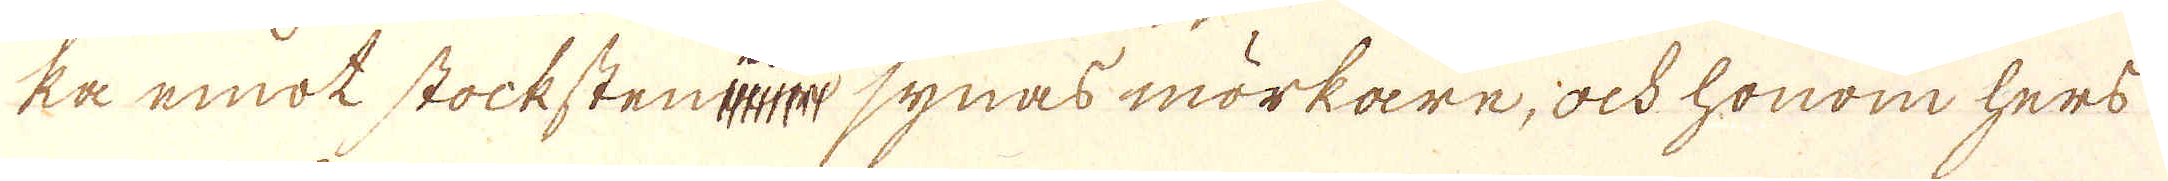ka emot stockstenen synas mörkare, ock honom hers
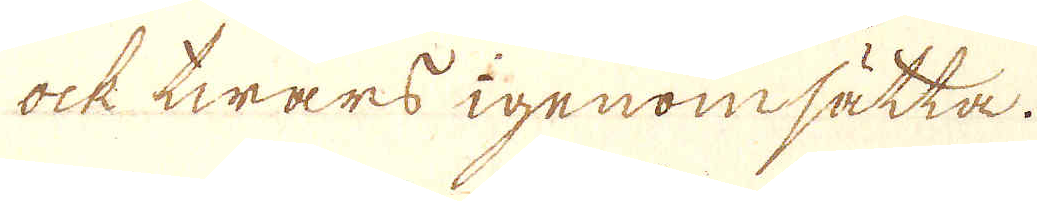ock twärs igenomsätta.
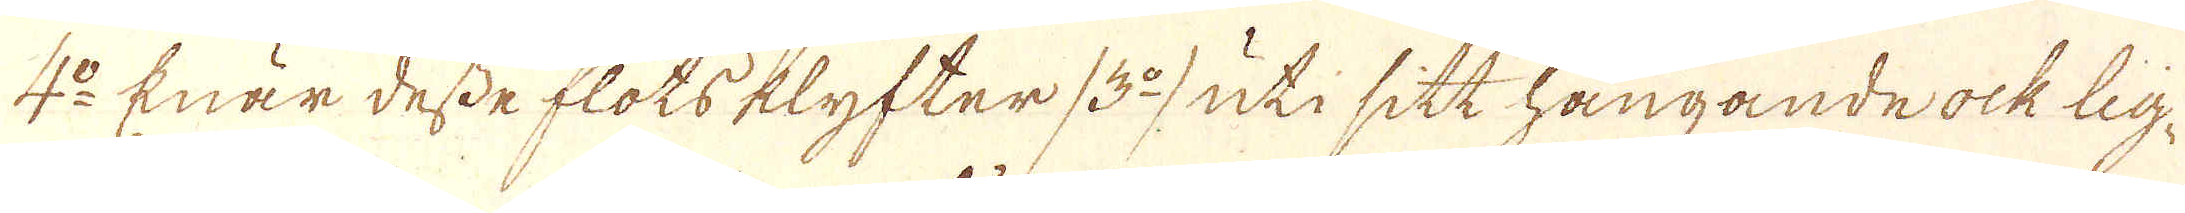4:o Enär desse flöts klyfter /3:o/ uti sitt hängande ock lig-
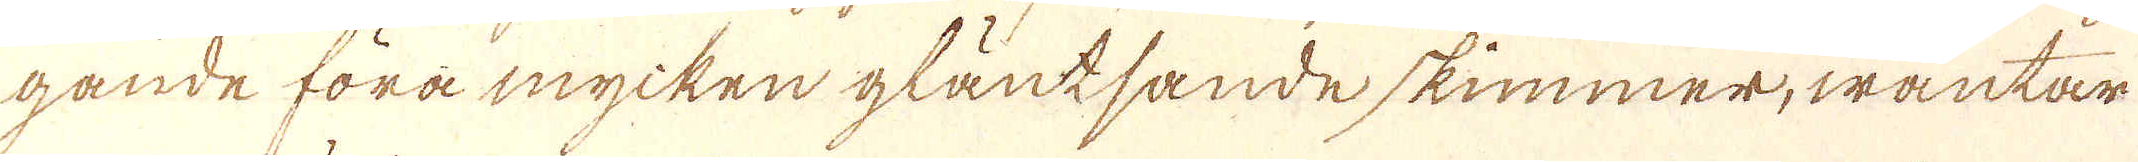gande föra mycken gläntsande skimmer, wäntar
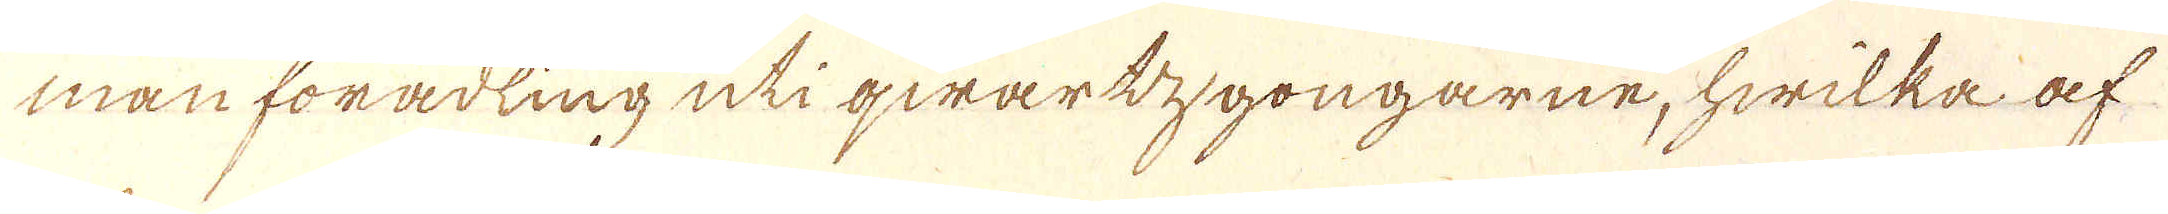man förädling uti qwartzgongarne, hwilka af
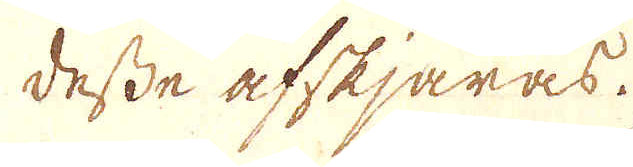desse afskjäras.
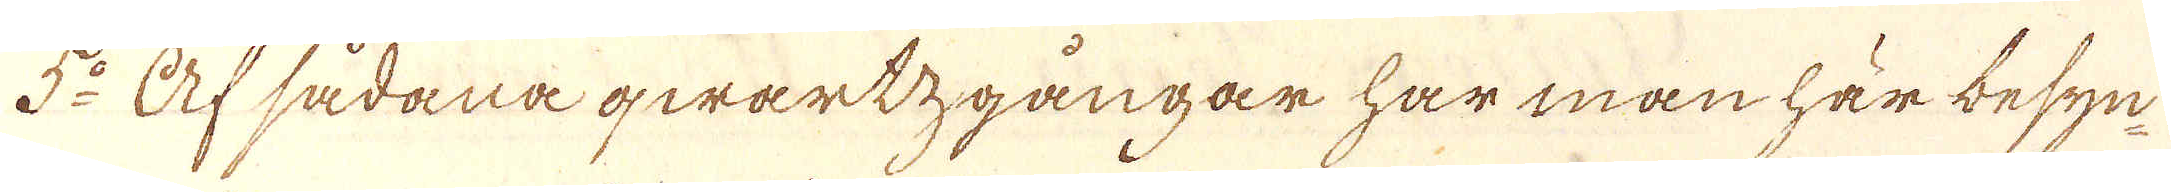5:o Af sådana qwartzgångar har man här besyn-
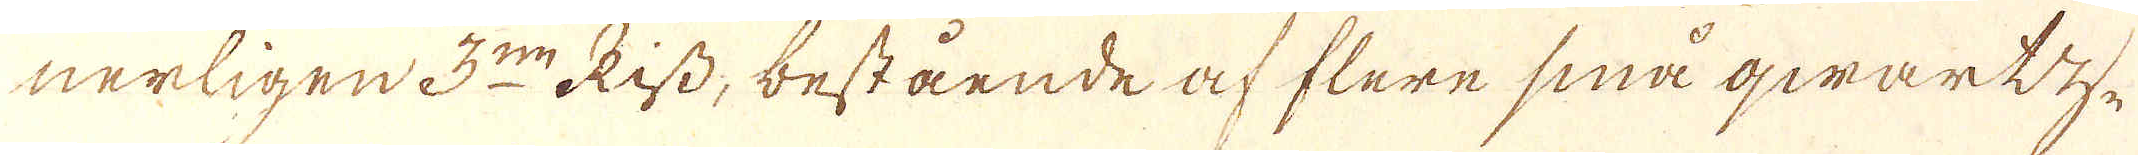nerligen 3:ne Riss, bestående af flere små qwartz-
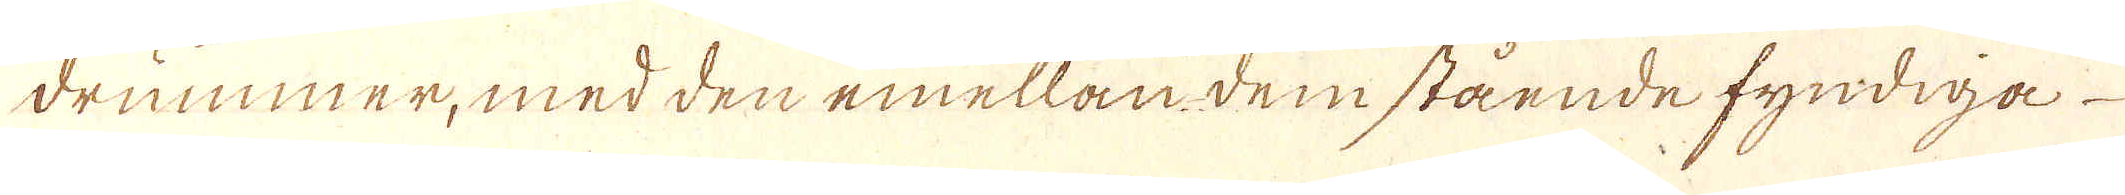drummer, med den emellan dem stående fyndiga
